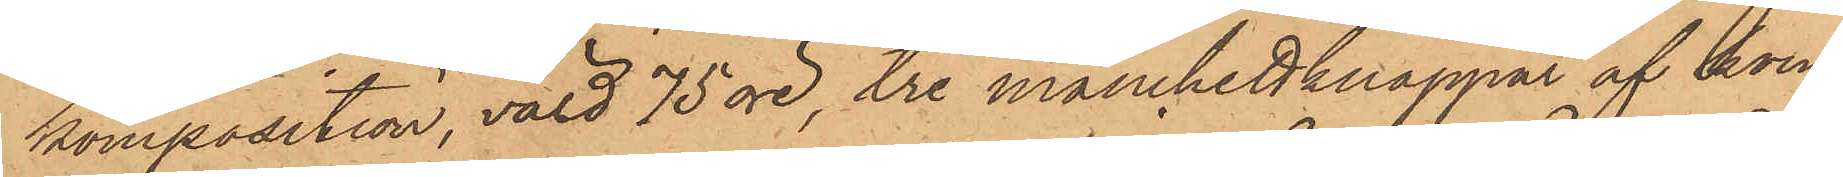komposition, värd 75 öre, tre manchettknappar af kom¬
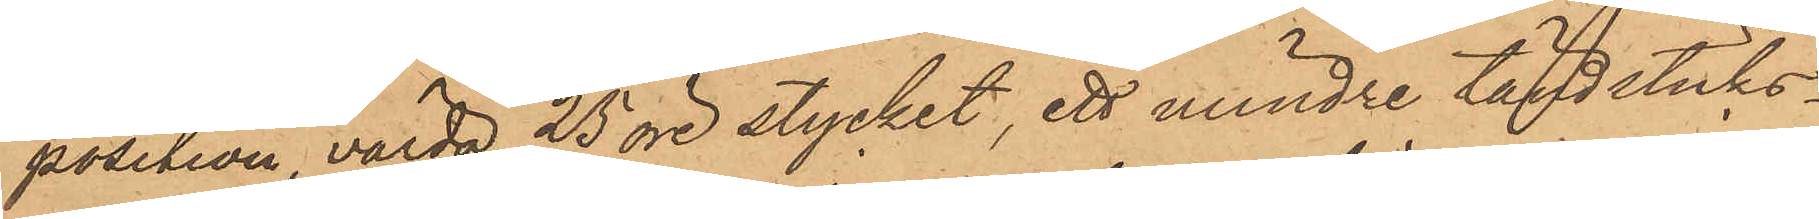position, värda 25 öre stycket, ett mindre tändsticks¬
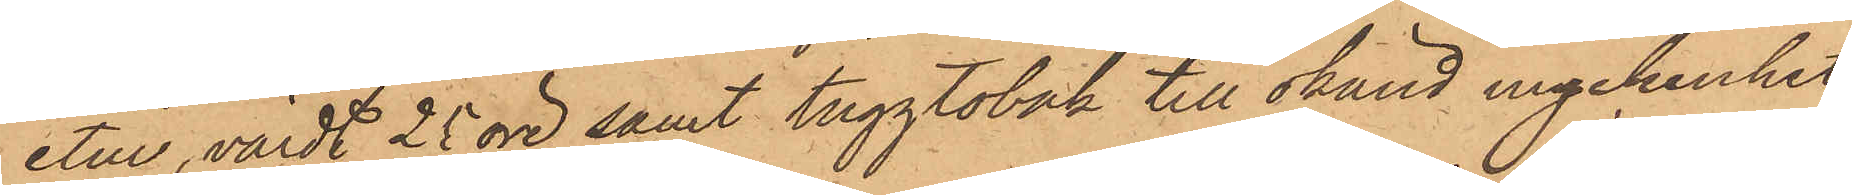etui, värdt 25 öre samt tuggtobak till okänd myckenhet;
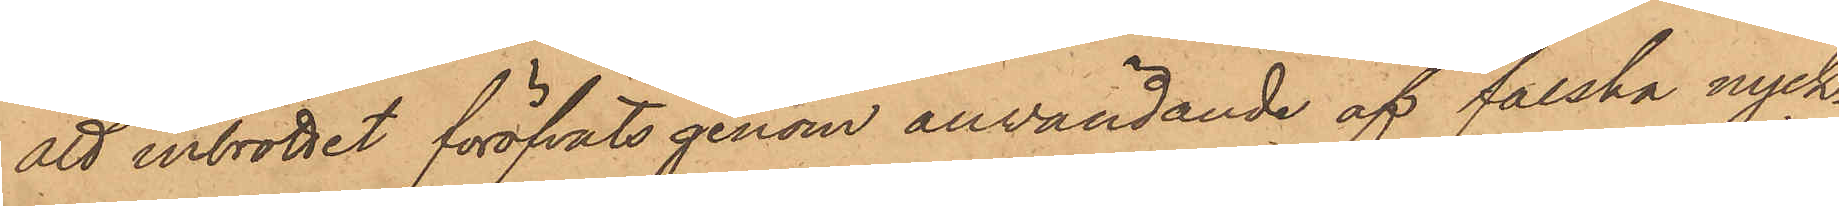att inbrottet föröfvats genom användande af falska nyck¬
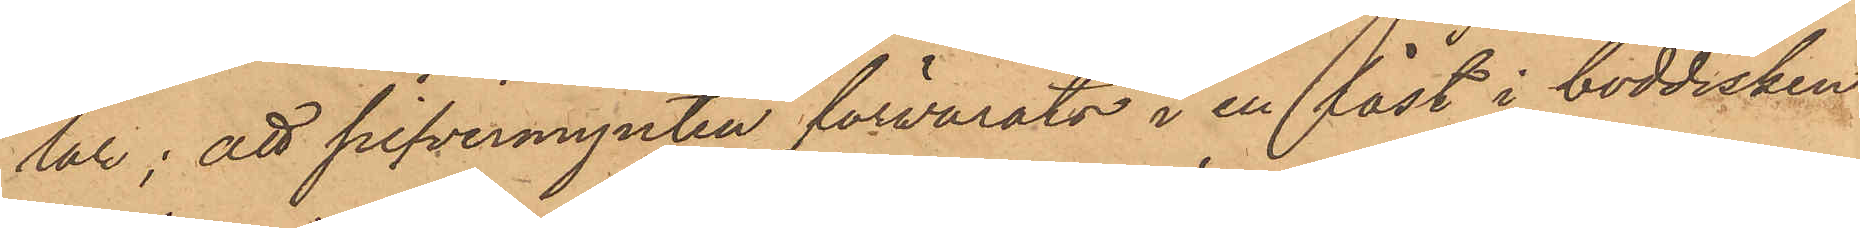lar; att silfvermynten förvarats i en låst i boddisken
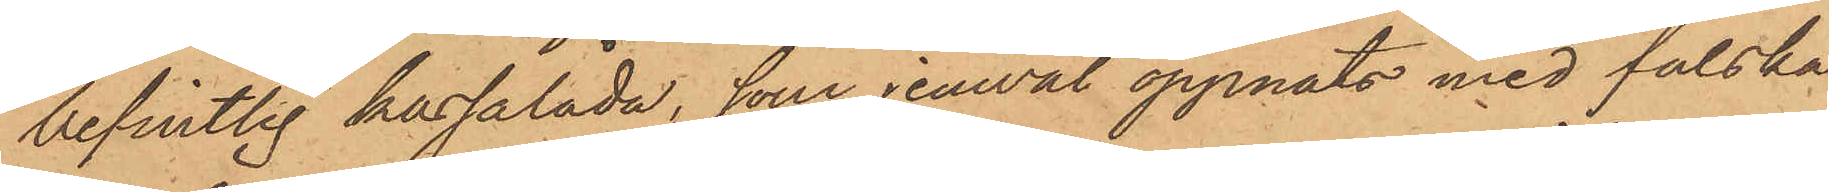befintlig kassalåda, som jemväl öppnats med falska
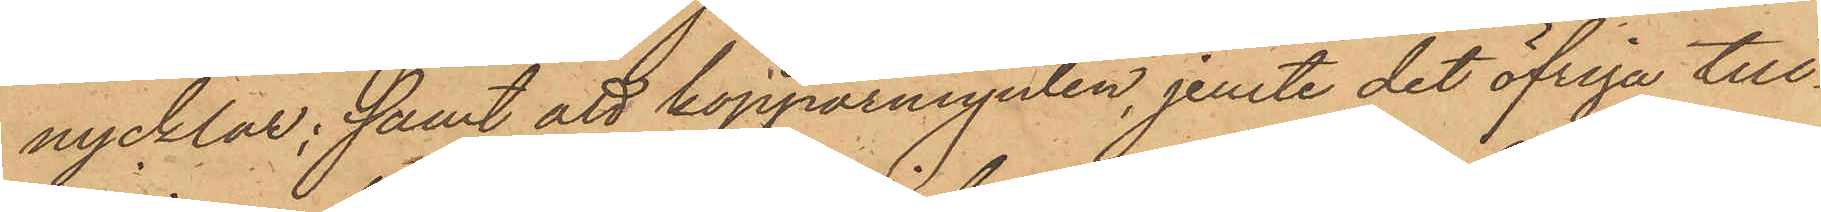nycklar; samt att kopparmynten, jemte det öfriga till¬
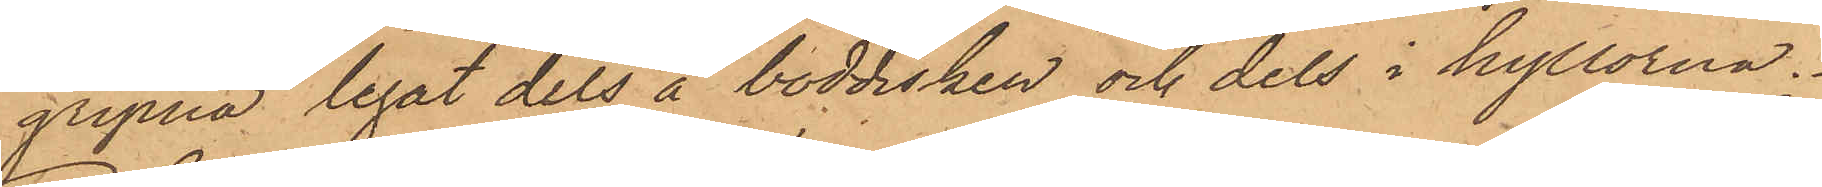gripna legat dels å boddisken och dels i hyllorna.
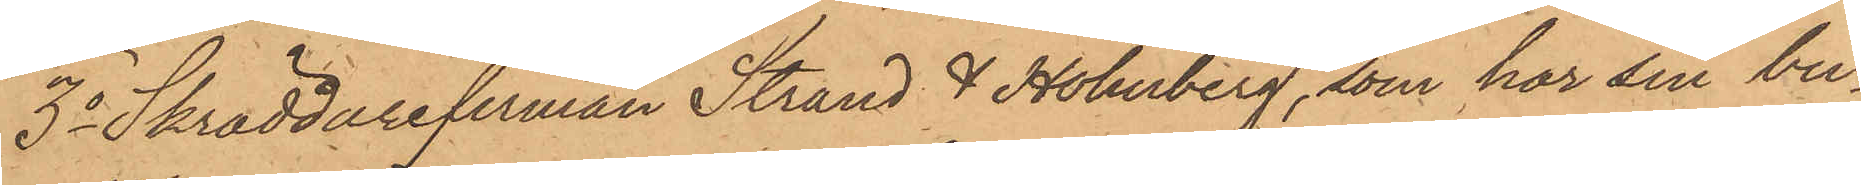3o Skräddarefirman Strand & Holmberg, som har sin bu¬
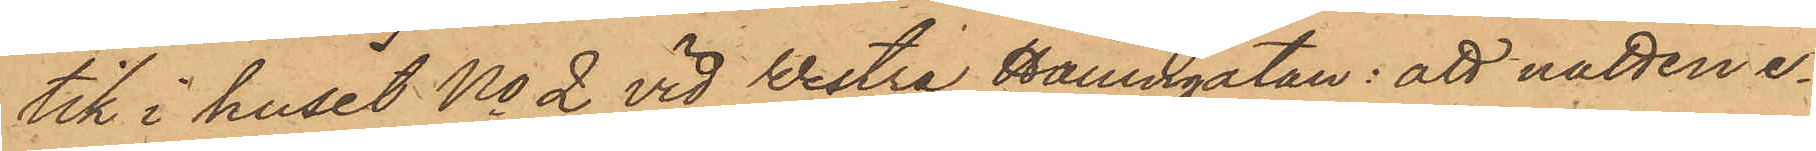tik i huset No 2 vid Westra Hamngatan: att natten e¬
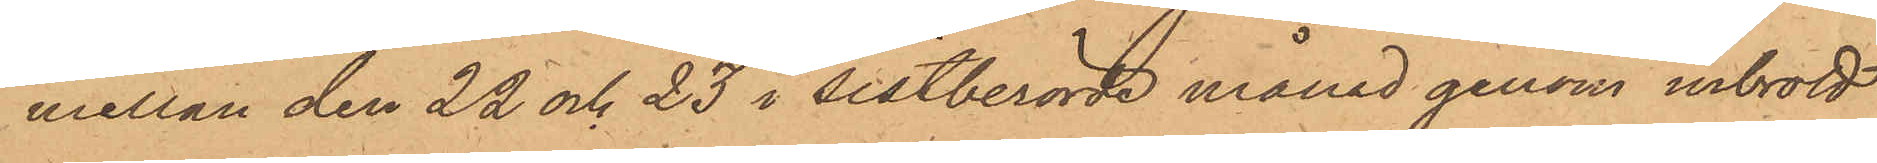mellan den 22 och 23 i sistberörde månad genom inbrott
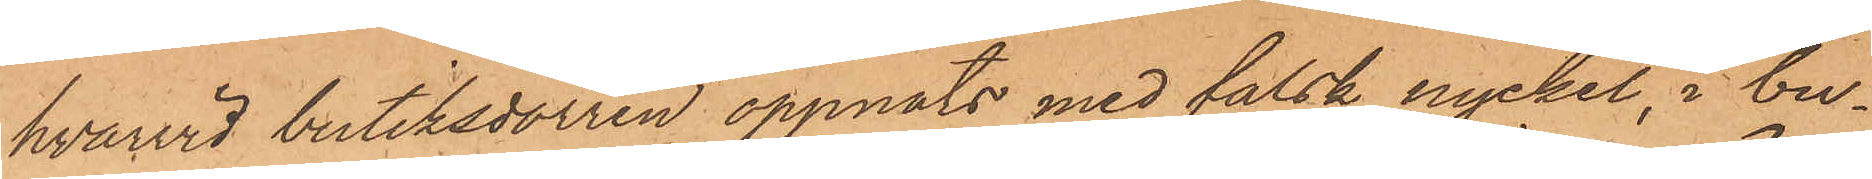hvarvid butiksdörren öppnats med falsk nyckel, i bu¬
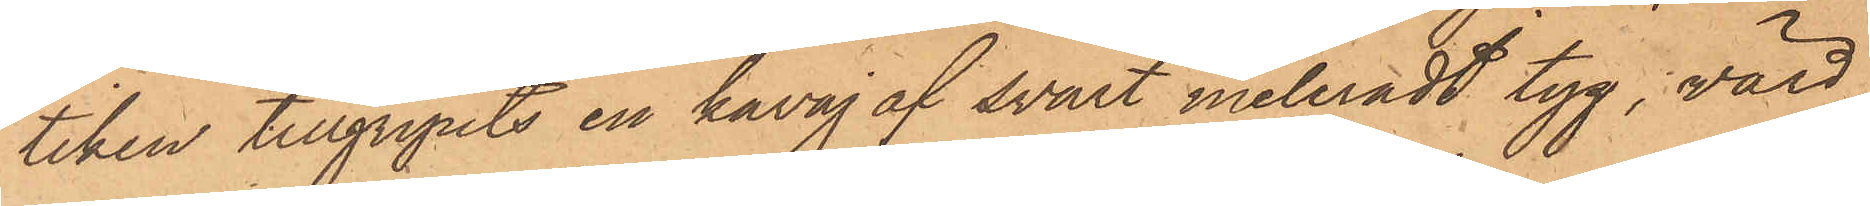tiken tillgripits en kavaj af svart meleradt tyg, värd
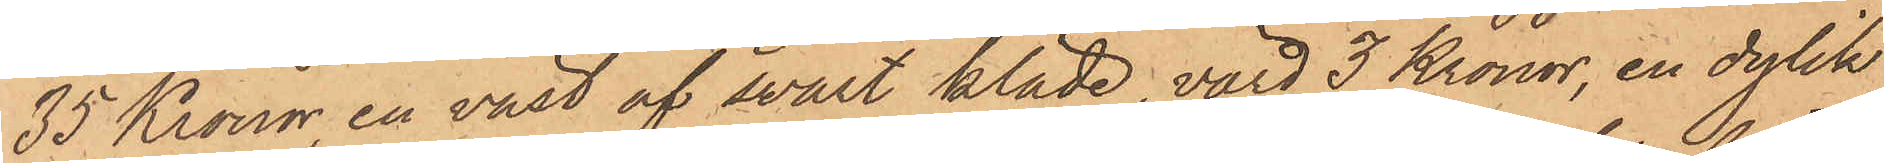35 Kronor, en väst af svart kläde, värd 3 Kronor, en dylik
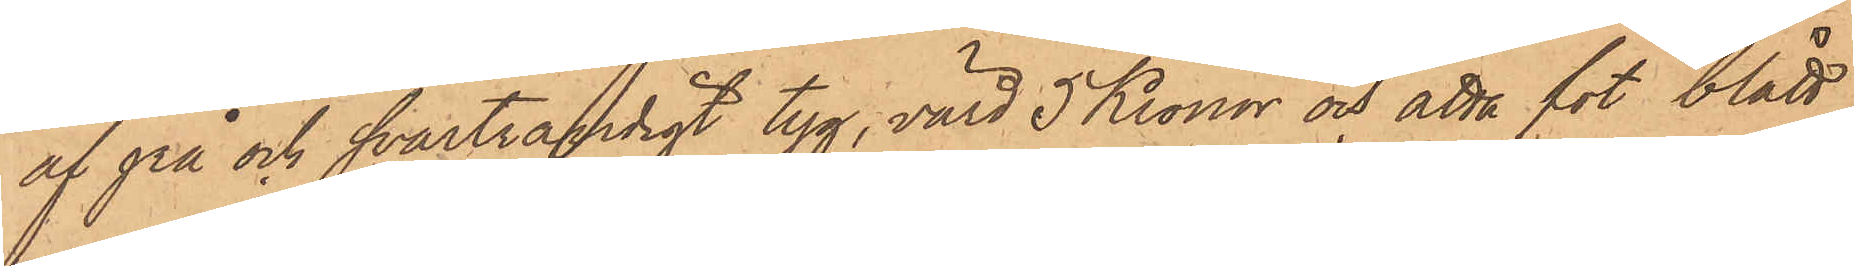af grå och svartrandigt tyg, värd 5 Kronor och åtta fot blått
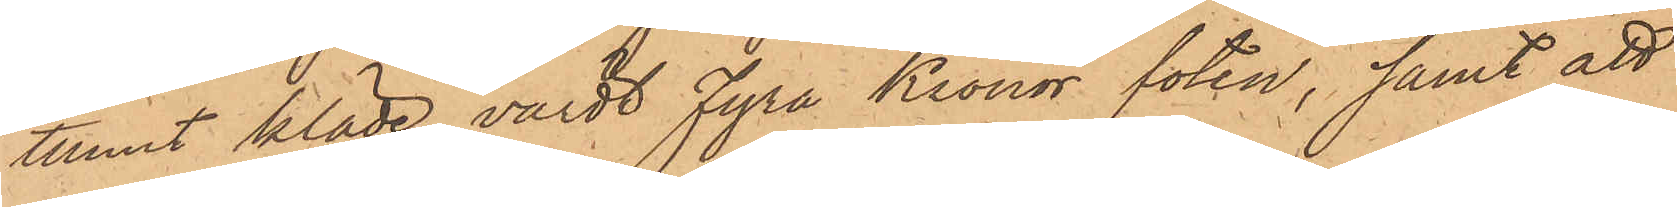tunnt kläde, värdt fyra Kronor foten; samt att
